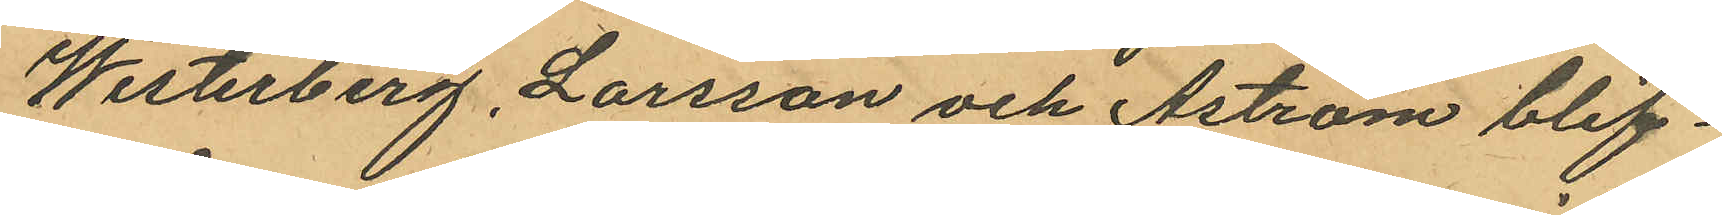Westerberg, Larsson och Åström blif¬
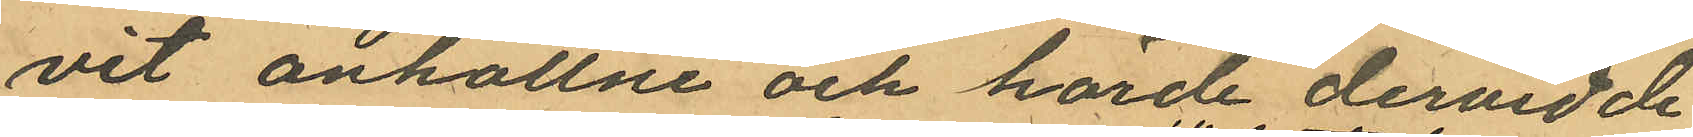vit anhållne och hörde dervid de
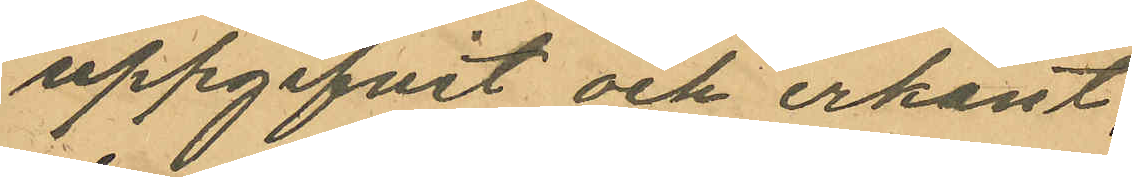uppgifvit och erkänt:
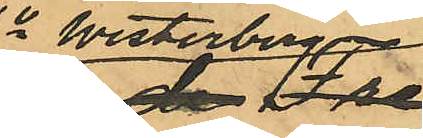1o Westerberg
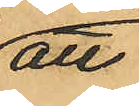att
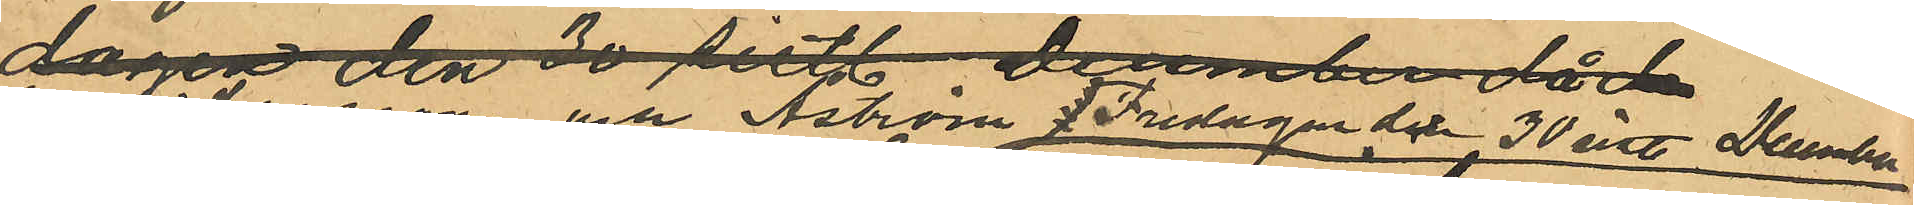han Larsson och Åström Fredagen den 30 sistl. December
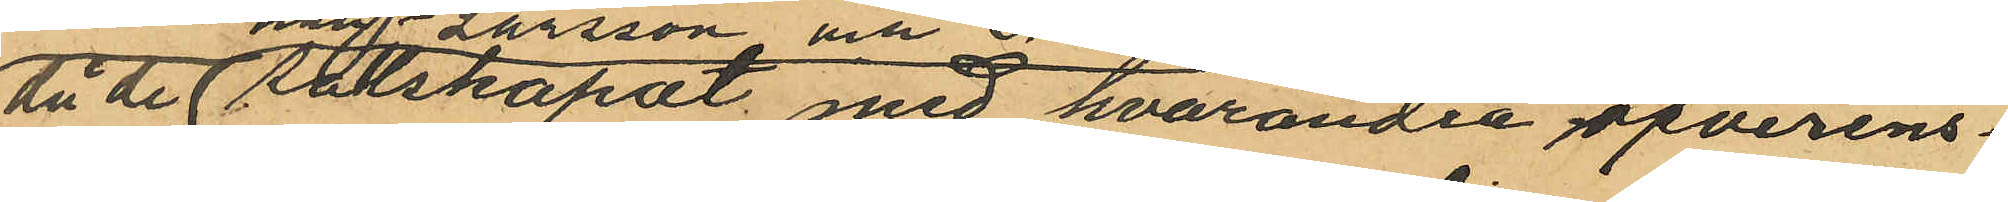då de sällskapat med hvarandra öfverens¬
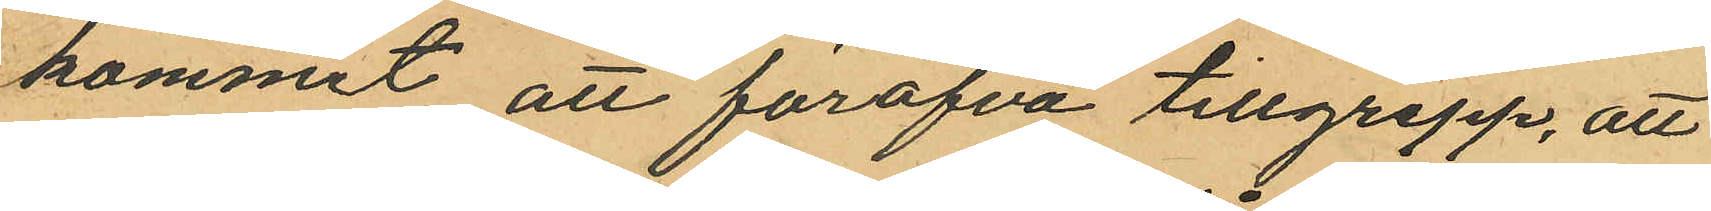kommit att föröfva tillgrepp, att
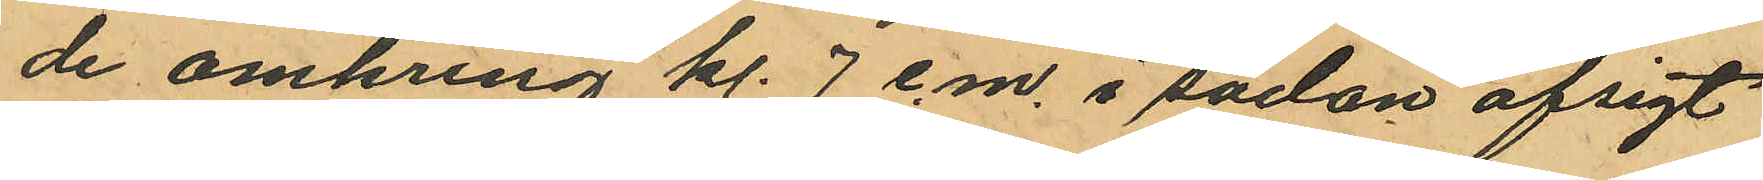de omkring kl. 7 e.m. i sådan afsigt
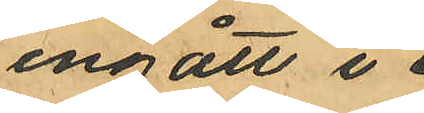ingått i
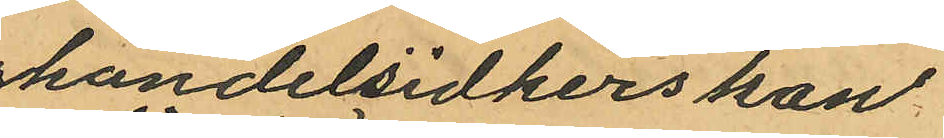handelsidkerskan
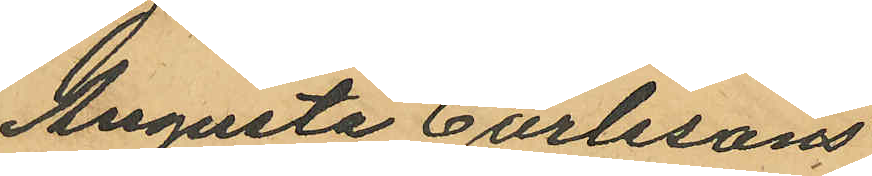Augusta Carlssons
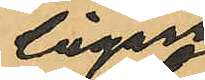Cigarr
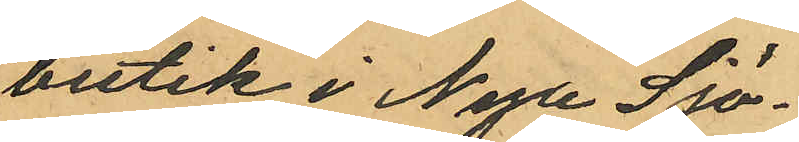butik i Nya Sjö¬
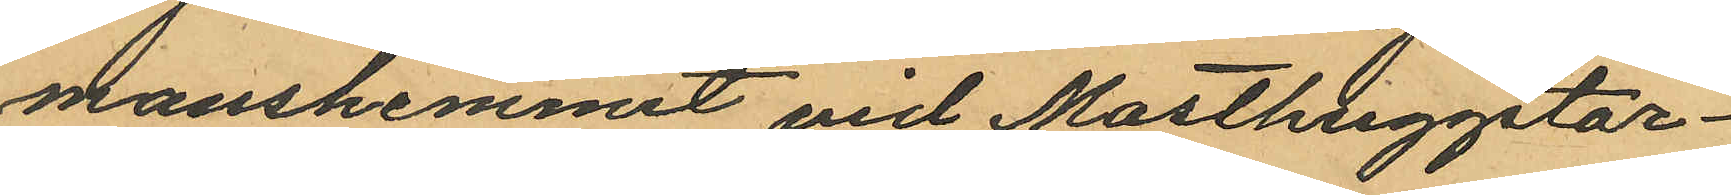manshemmet vid Masthuggstor¬
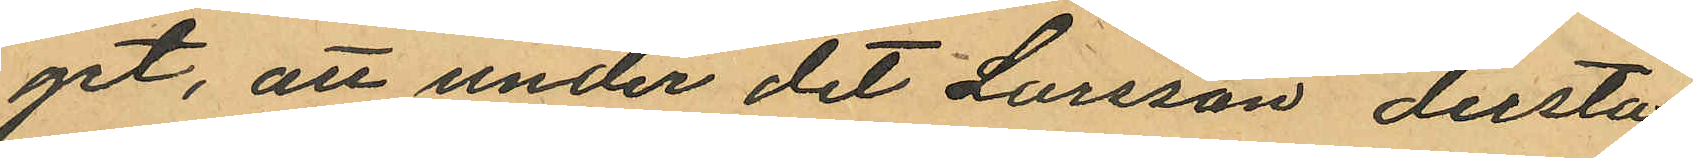get, att under det Larsson derstä
